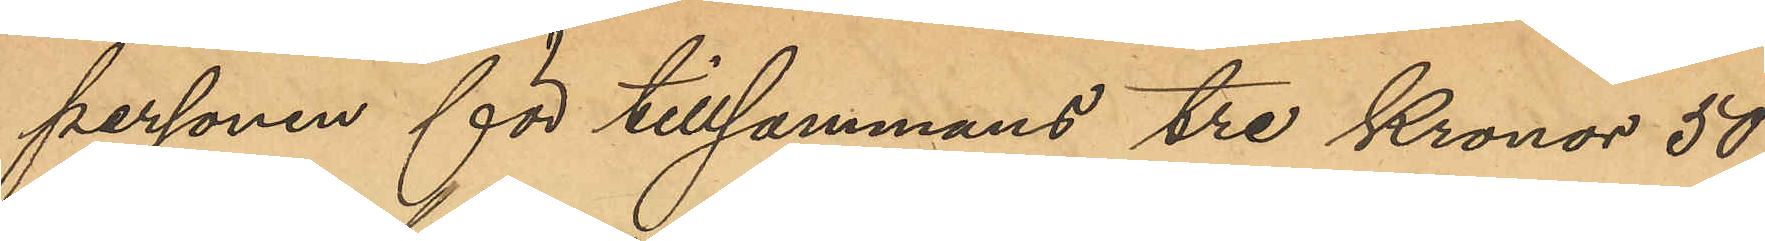personen för tillsammans tre Kronor 50
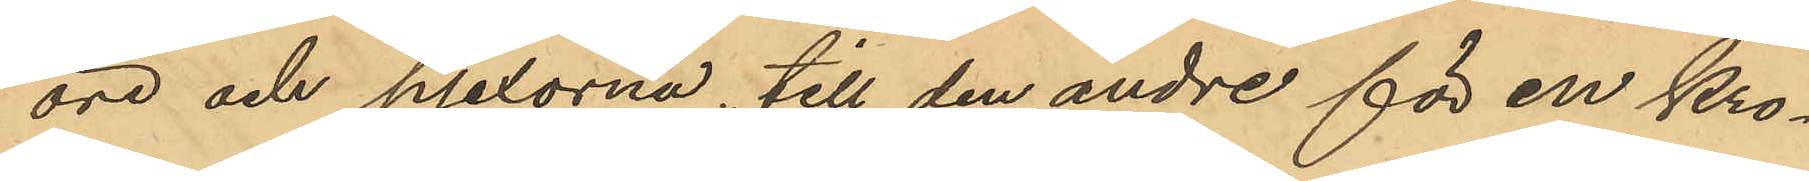öre och pjexorna till den andre för en Kro¬
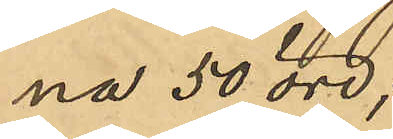na 50 öre;
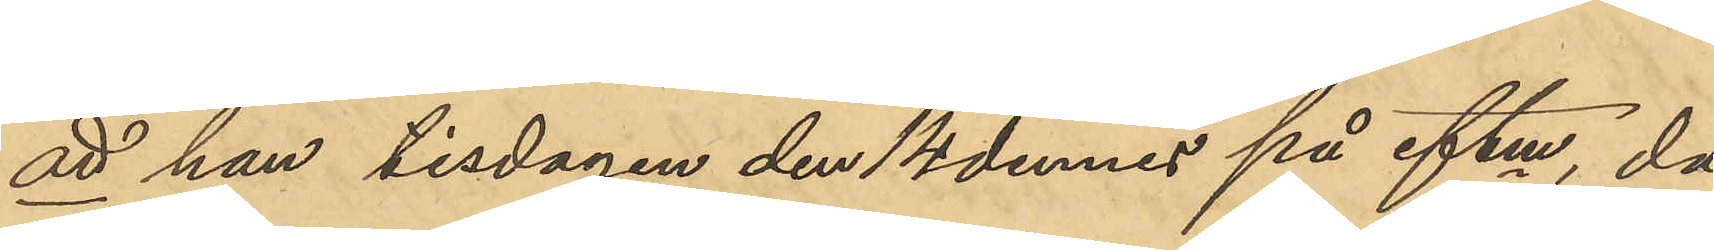att han tisdagen den 14 dennes på eftm, då
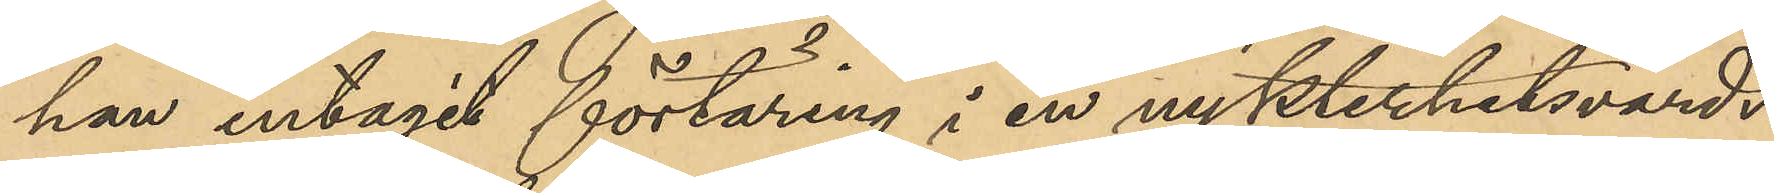han intagit förtäring i en nykterhetsvärds¬
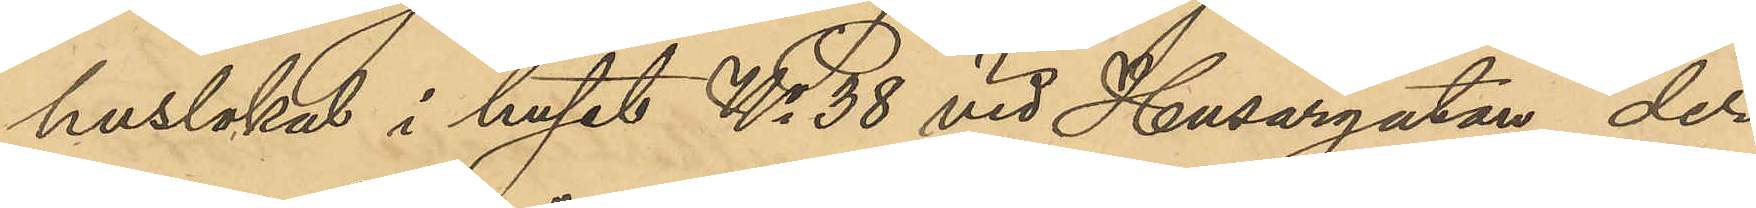huslokal i huset No 38 vid Husargatan der
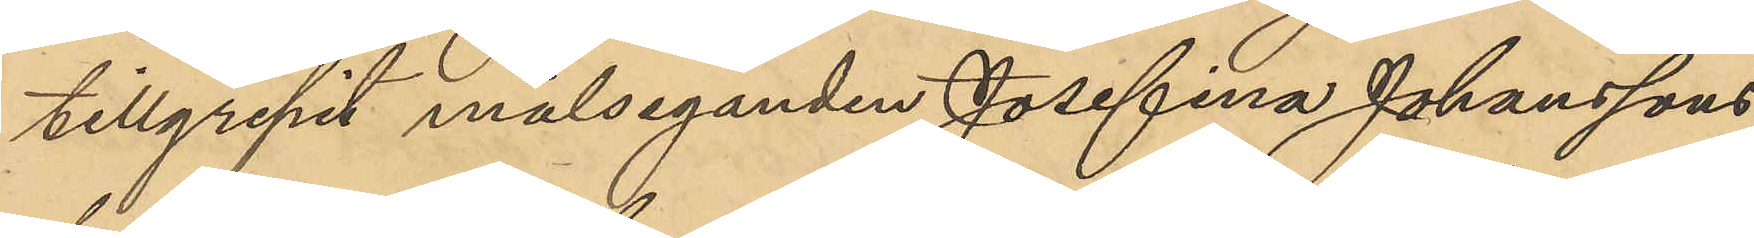tillgripit målseganden Josefina Johanssons
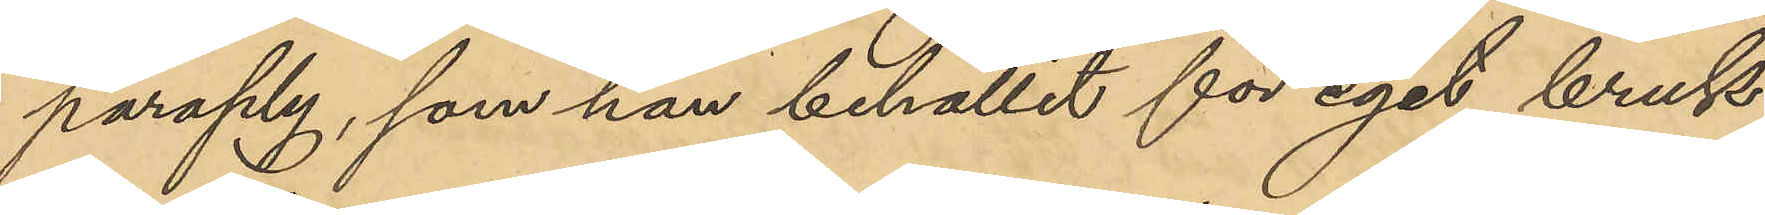paraply, som han behållit för eget bruk;
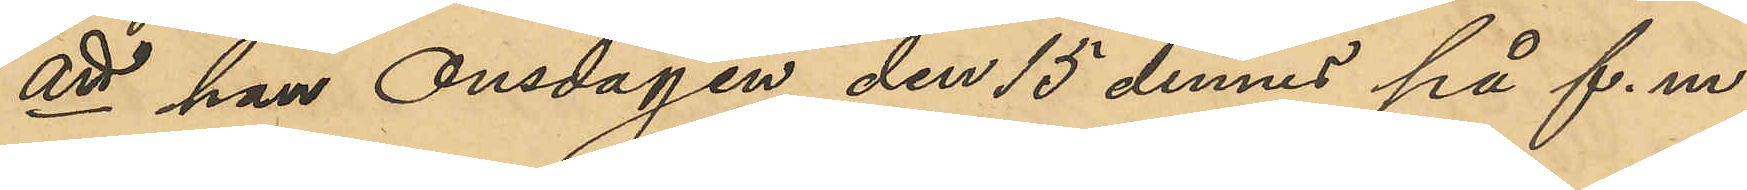att han Onsdagen den 15 dennes på f. m.,
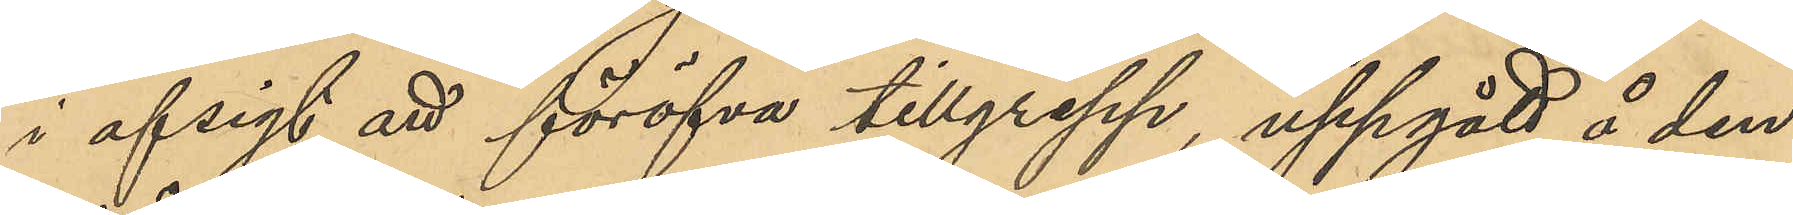i afsigt att föröfva tillgrepp, uppgått å den
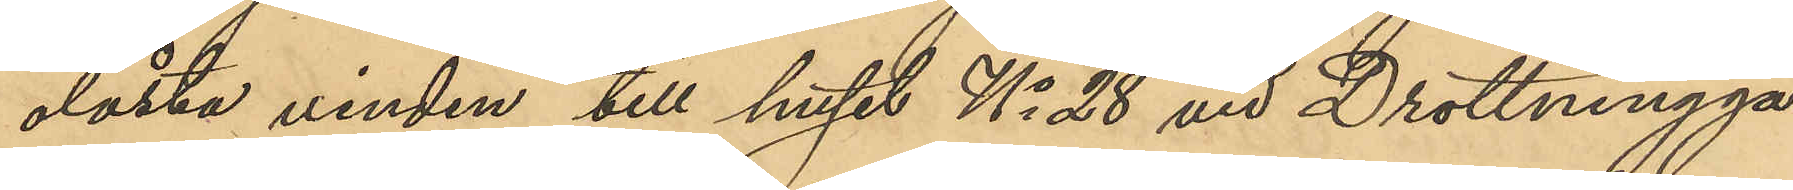olåsta vinden till huset No 28 vid Drottningga¬
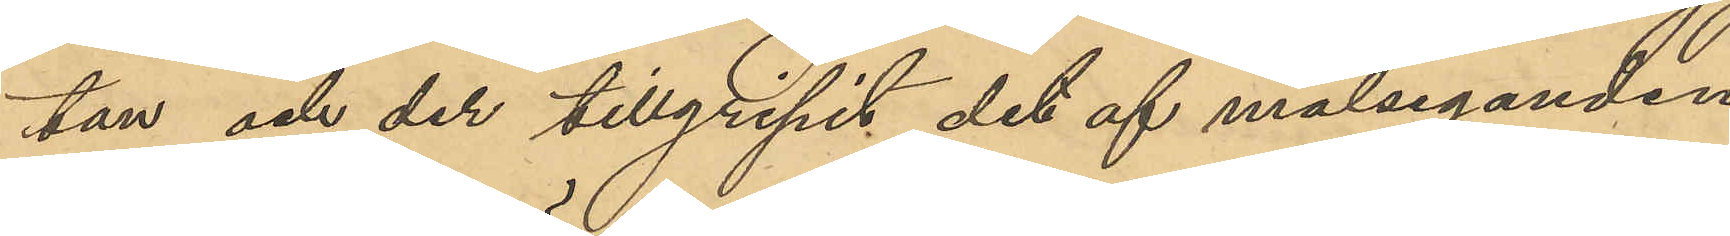tan och der tillgripit det af målseganden
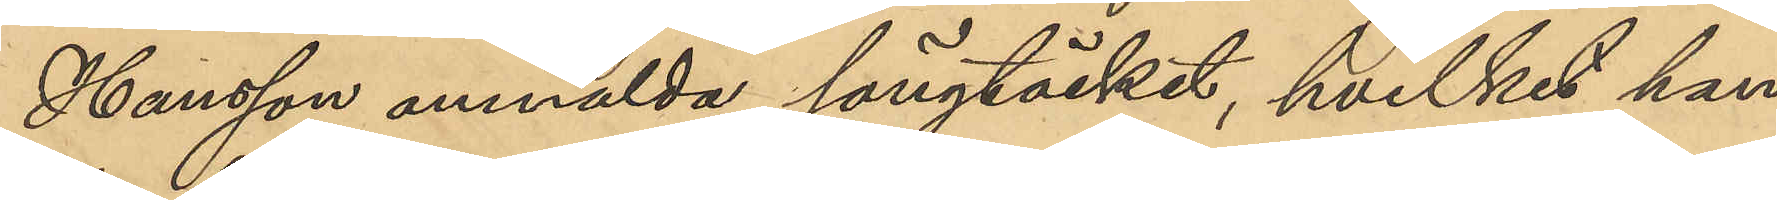Hansson anmälda sängtäcke, hvilket han
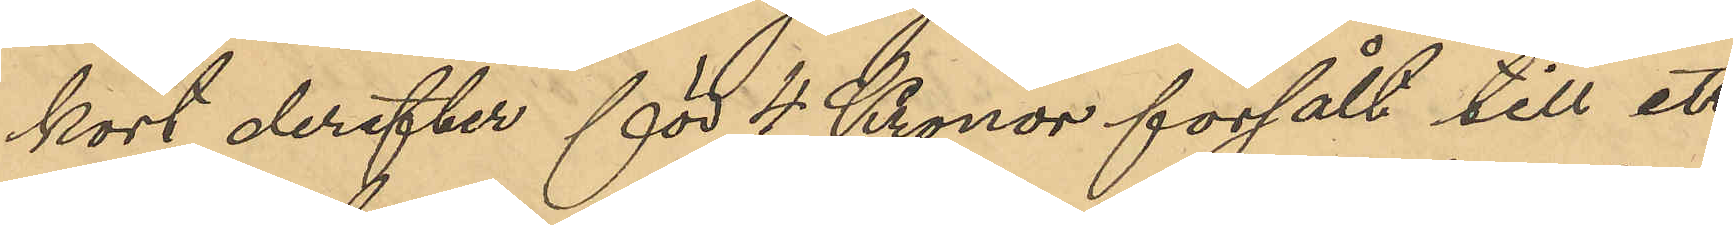kort derefter för 4 Kronor försålt till ett
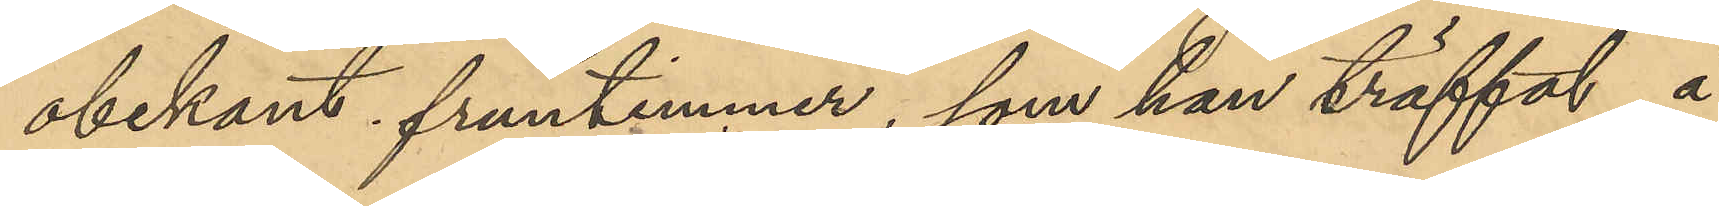obekant fruntimmer, som han träffat å
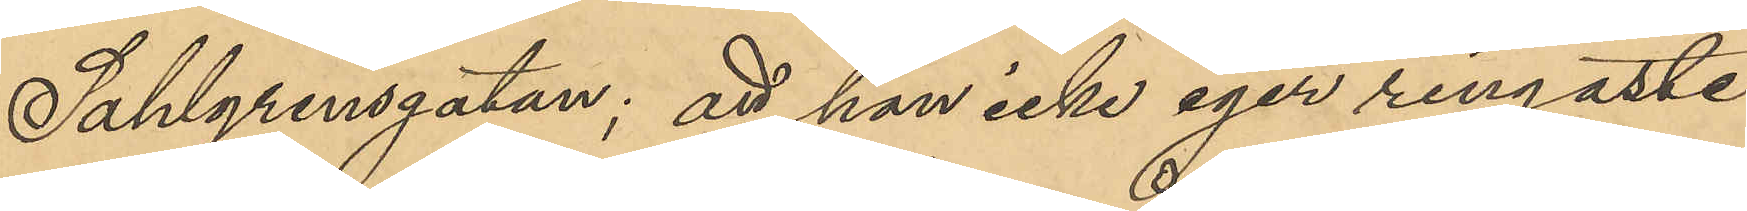Sahlgrensgatan; att han icke eger ringaste
